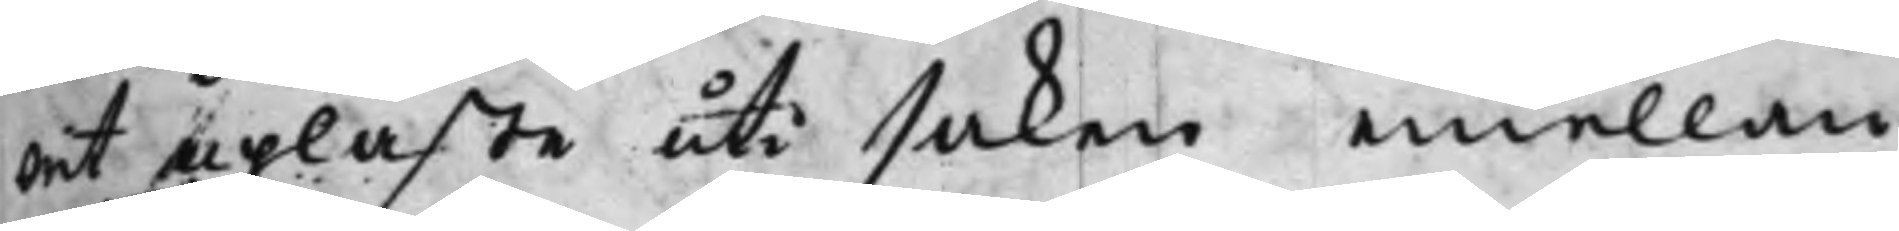wet upläste uti saken emellan
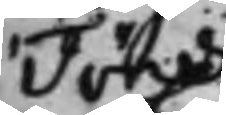Jöns
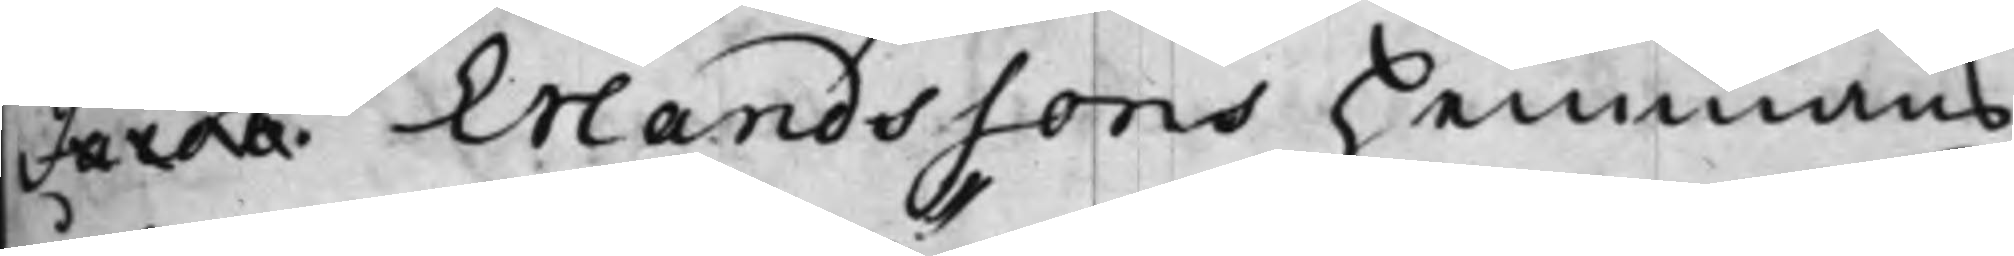Jacob Erlandssons hemmans
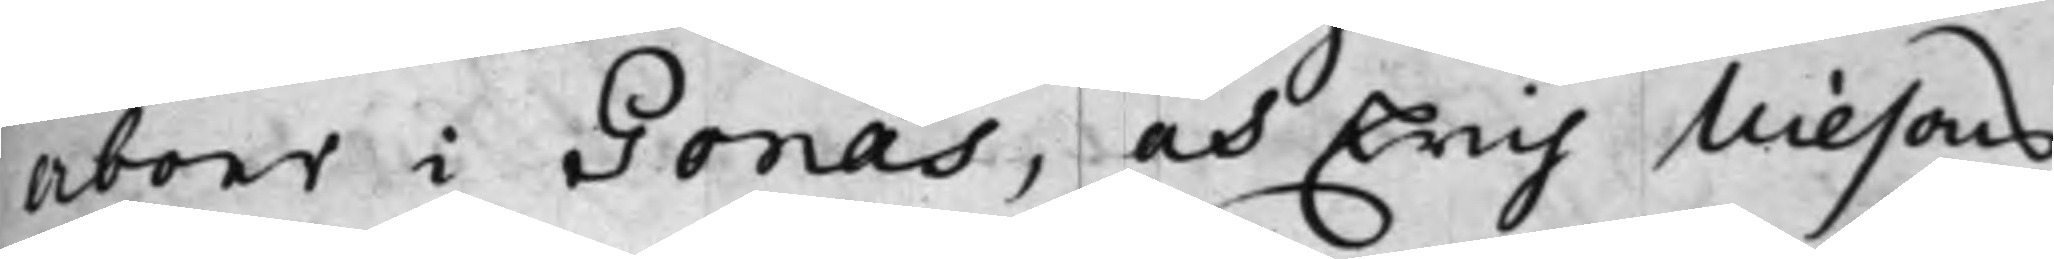Åboer i Gonäs, och Erich Nilsons
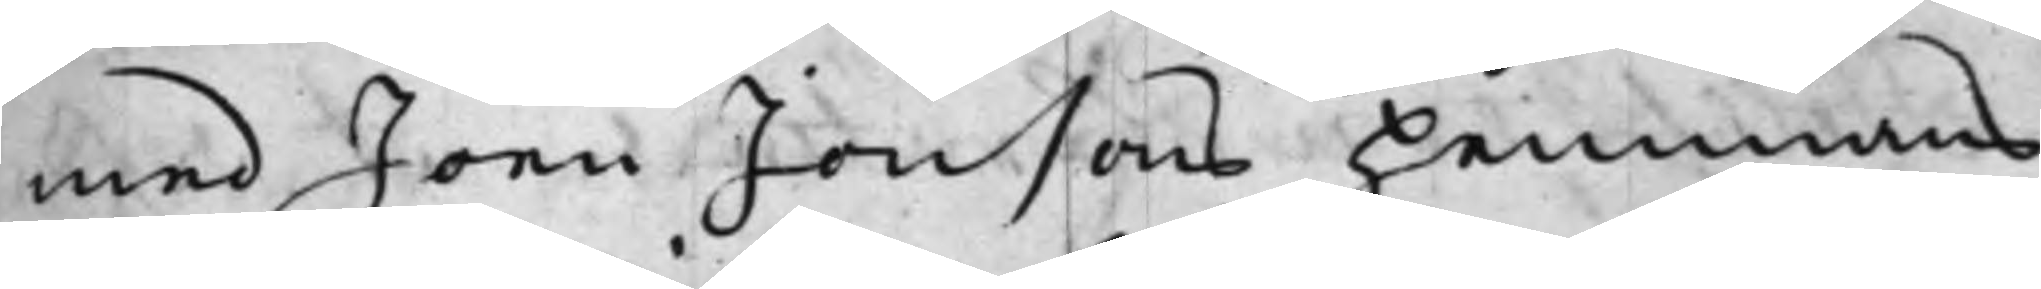med Joen Jonsons hemmans
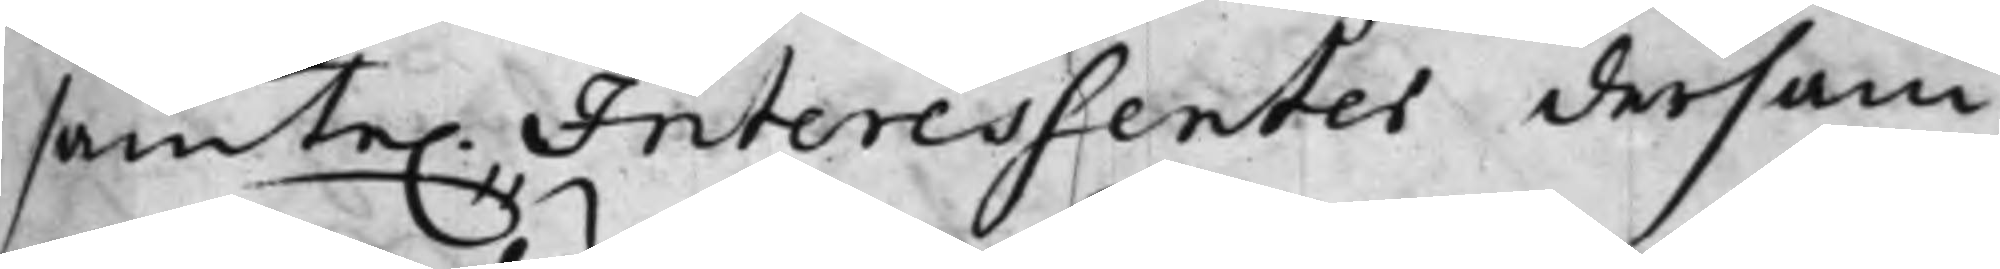samte. Interessenter dersam¬
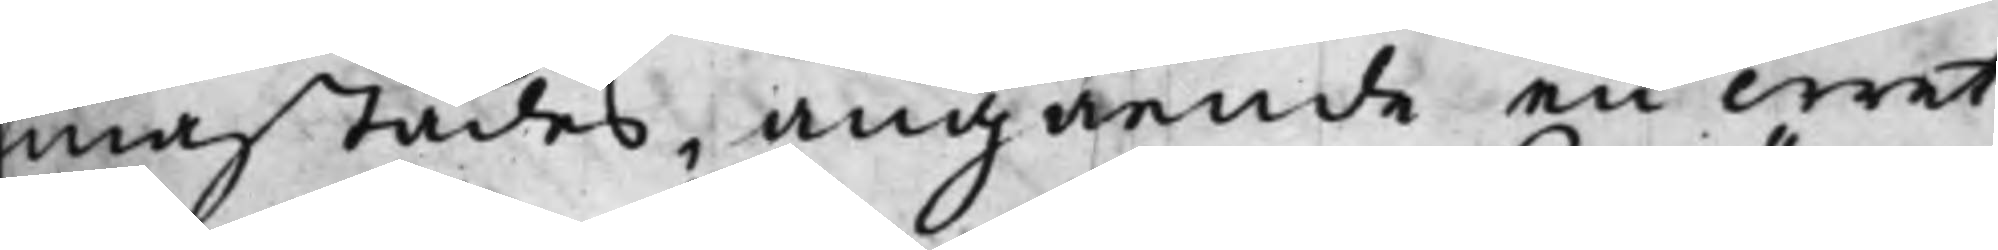mastädes, angående en wret
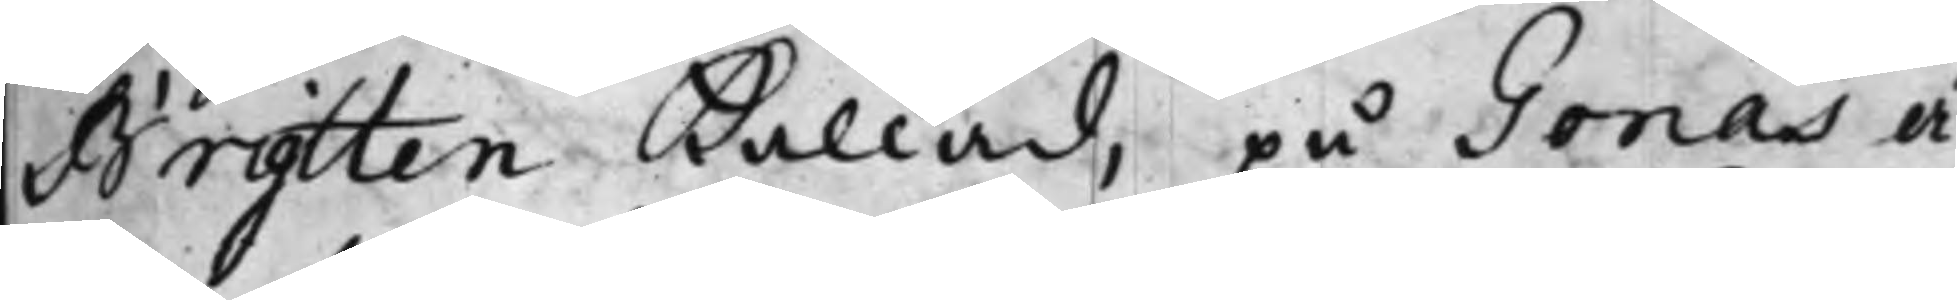Brytten kallad, på Gonäs ä¬
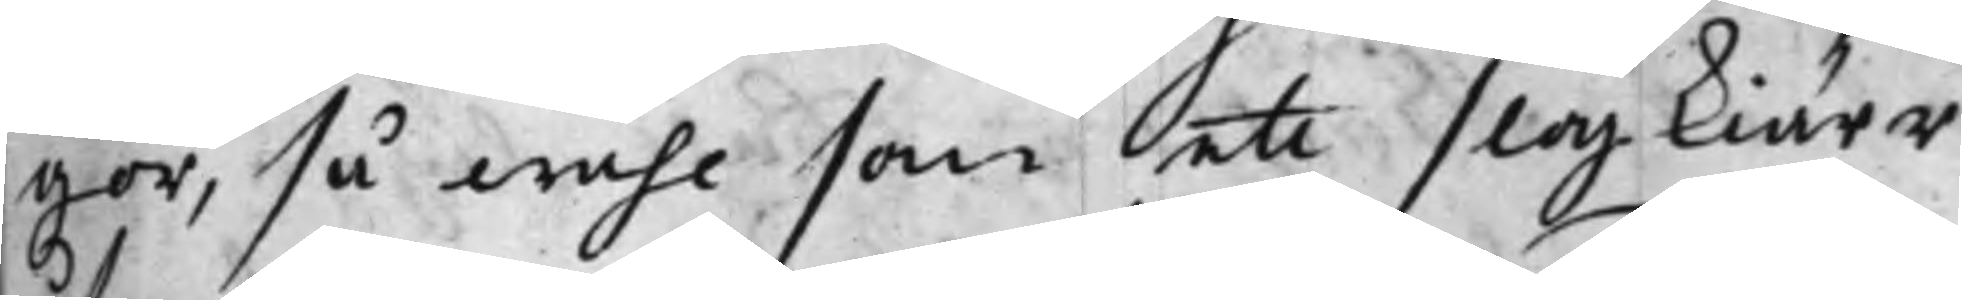gor, så wähl som ett slogkiärr
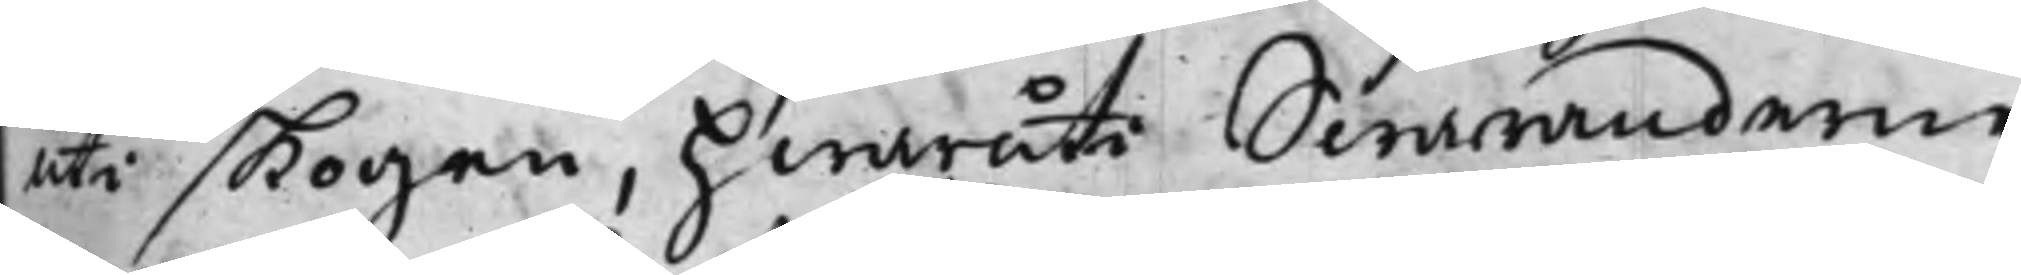uti skogen, hwaruti Swaranderne
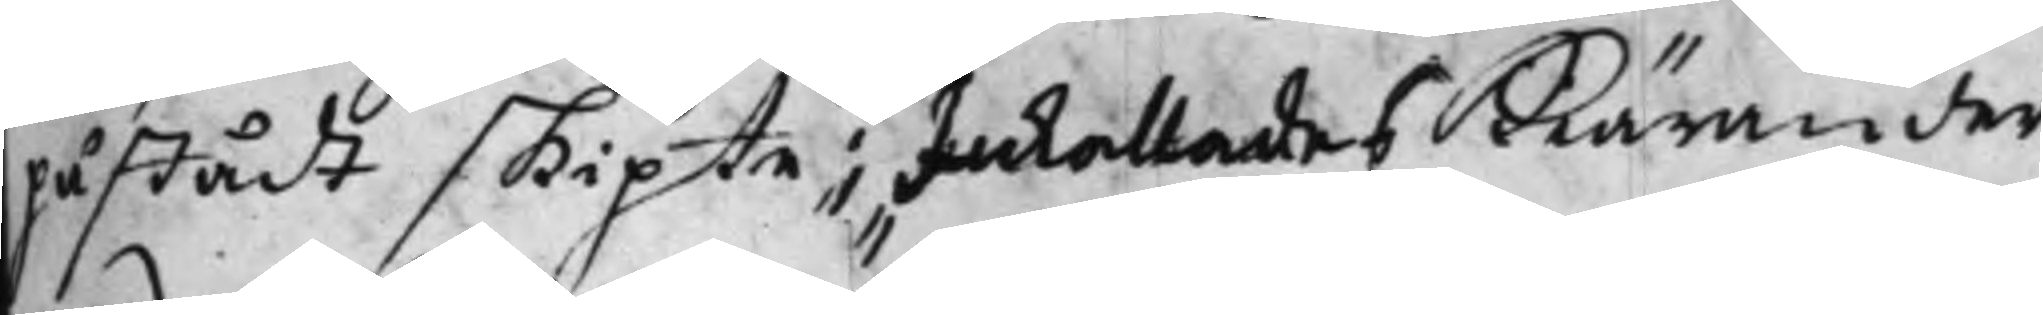påstådt skifte; Inkallades Kärander¬
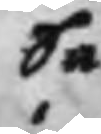Så
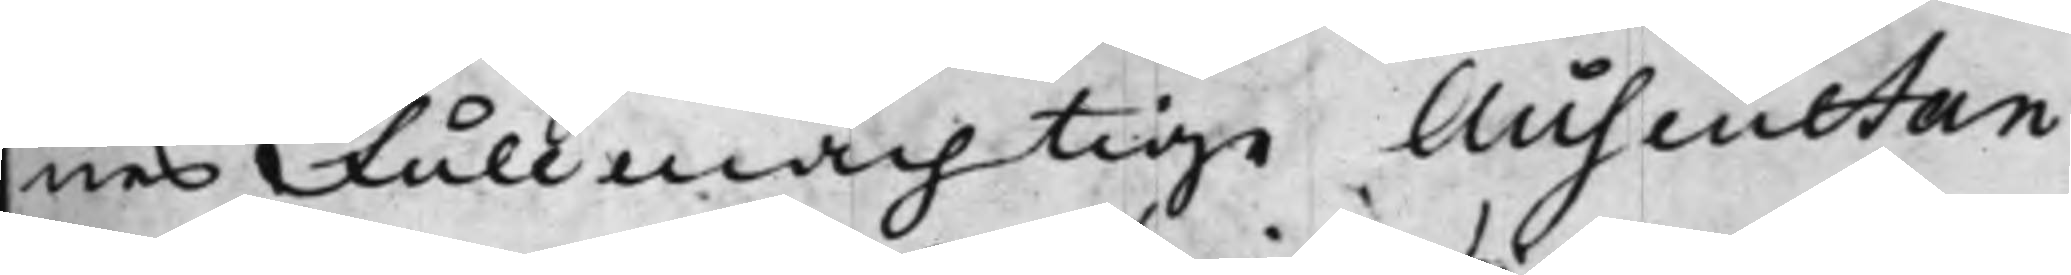nes Fullmächtige Auscultan¬
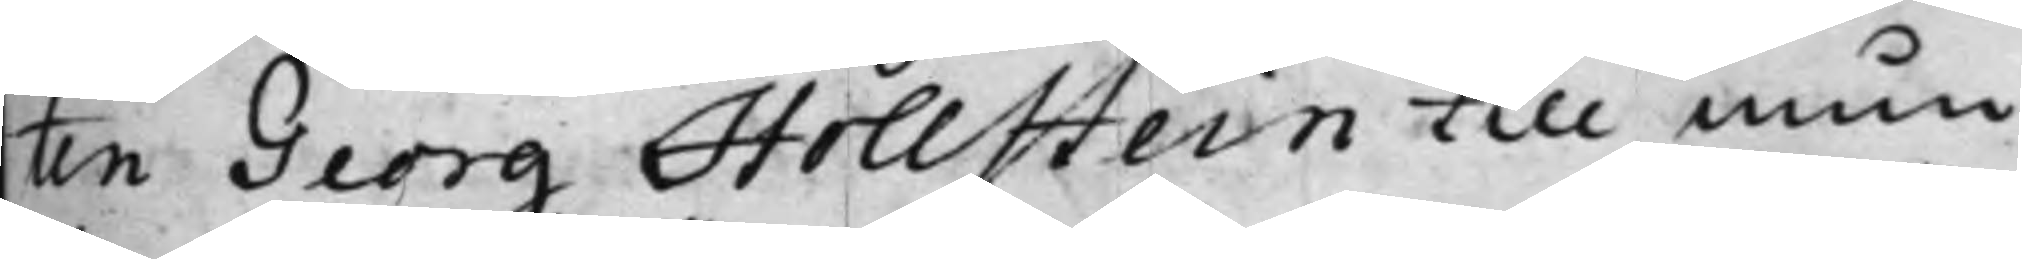ten Georg Hollstein till mun¬
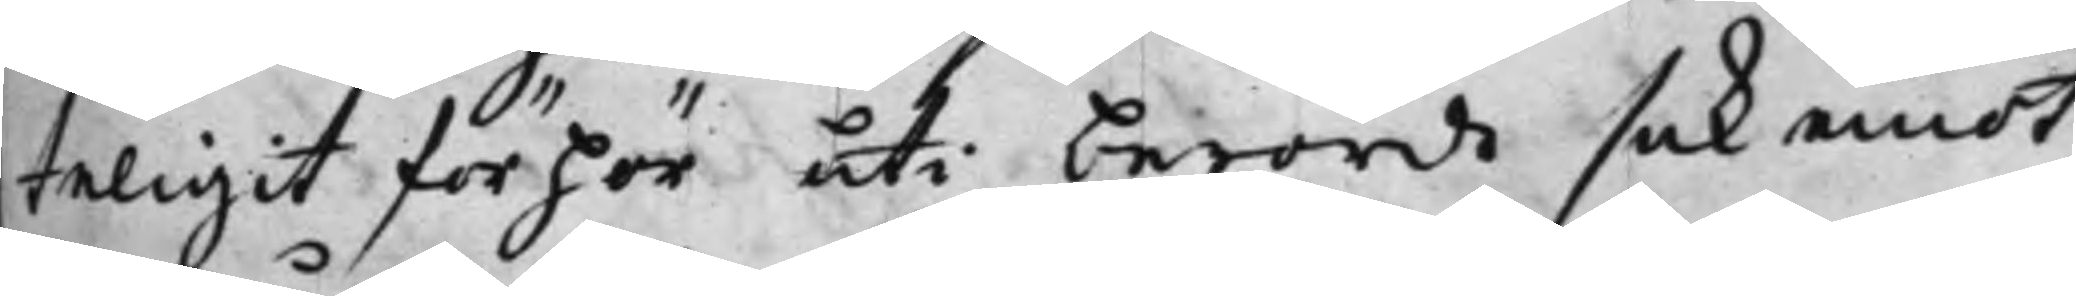teligit förhör uti berörde sak emot
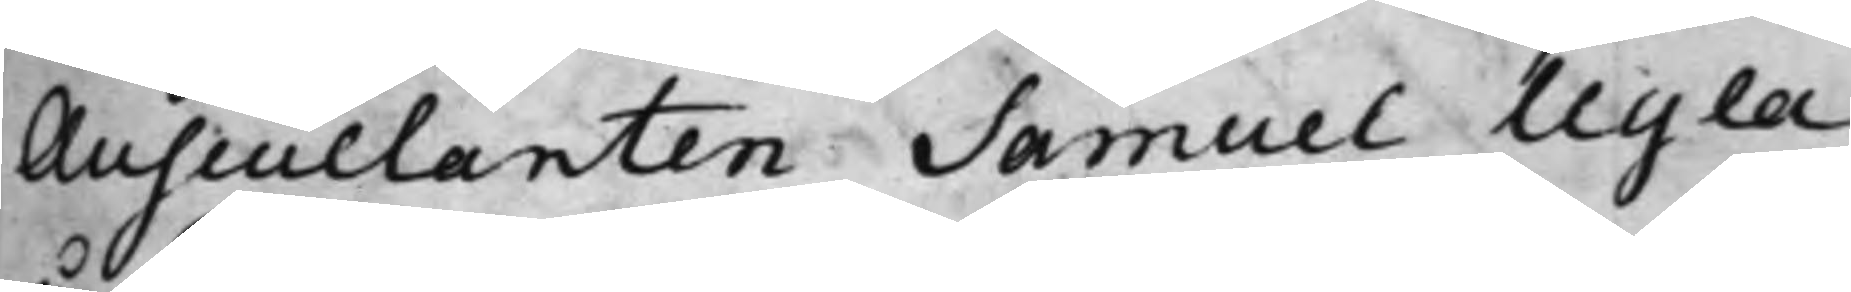Auscultanten Samuel Ugla
